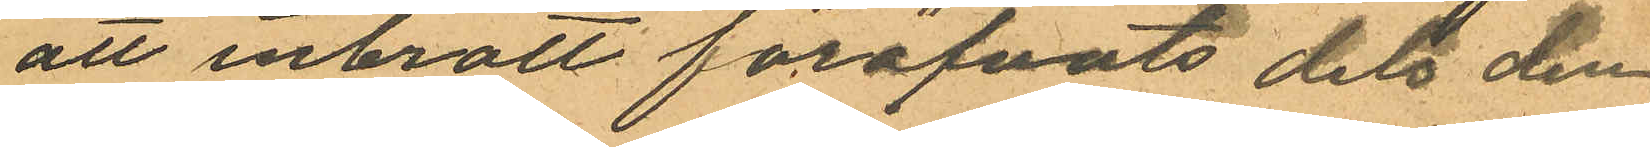att inbrott föröfvats dels den
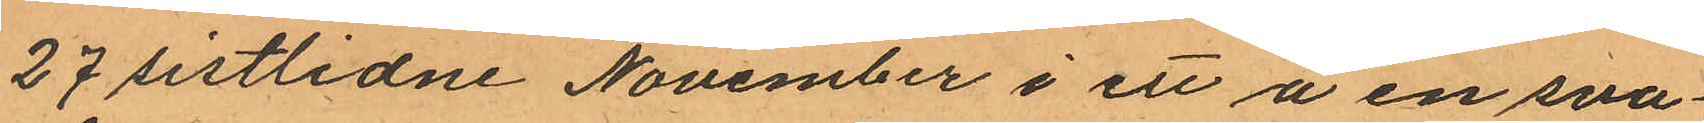27 sistlidne November i ett å en sva¬
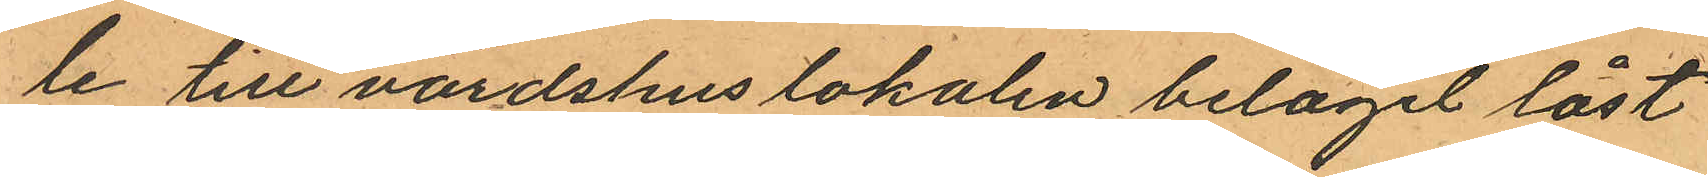le till värdshuslokalen beläget låst
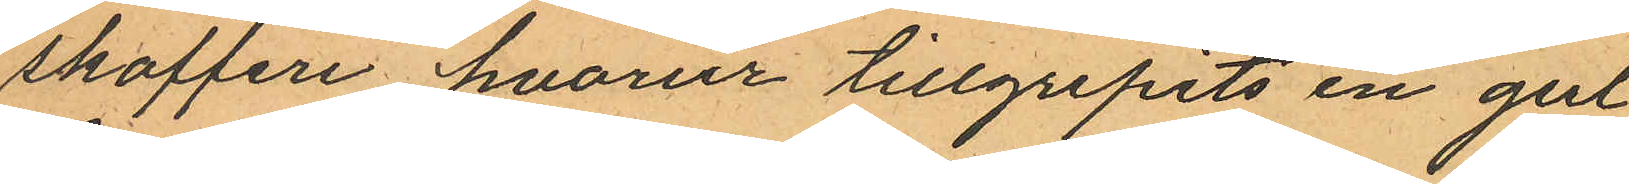skafferi hvarur tillgripits en gul
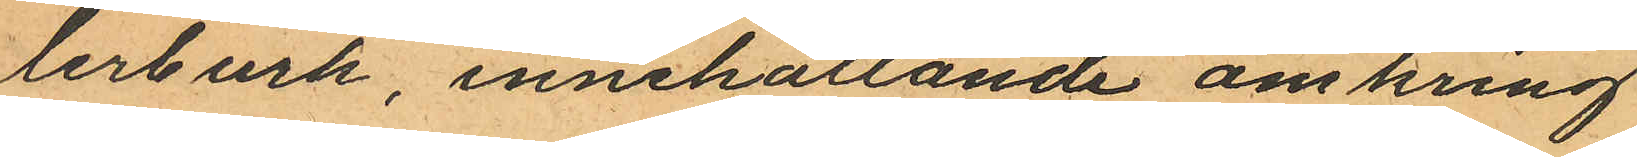lerburk, innehållande omkring
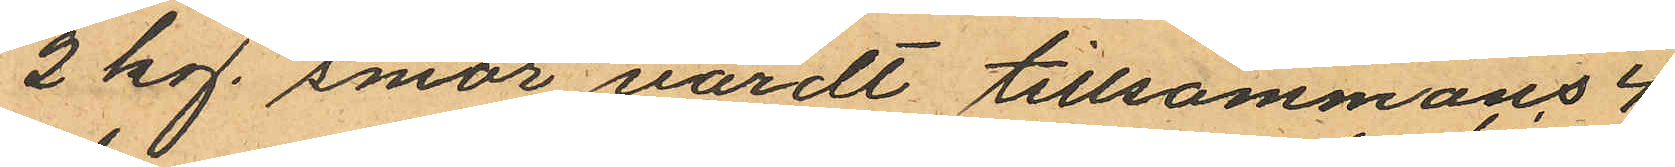2 kg. smör värdt tillsammans 4
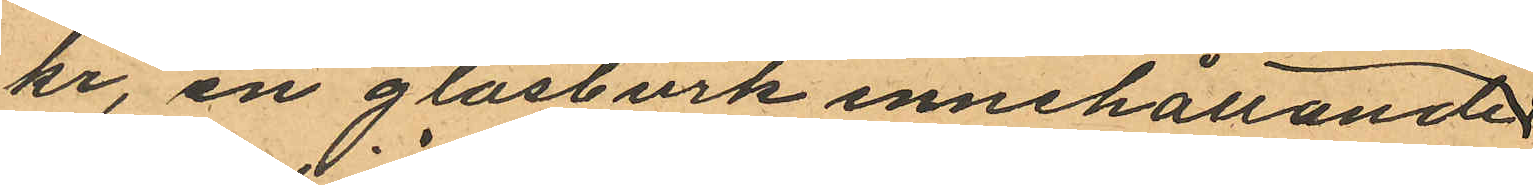kr, en glasburk innehållande
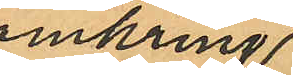omkring
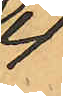4
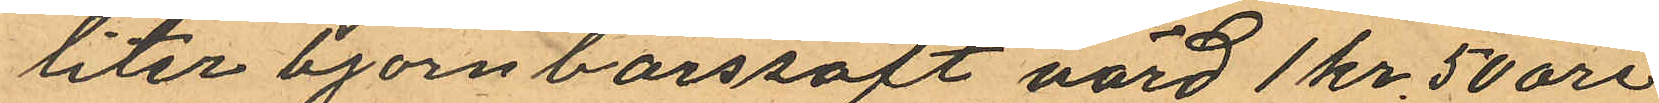liter björnbärssaft värd 1 kr 50 öre
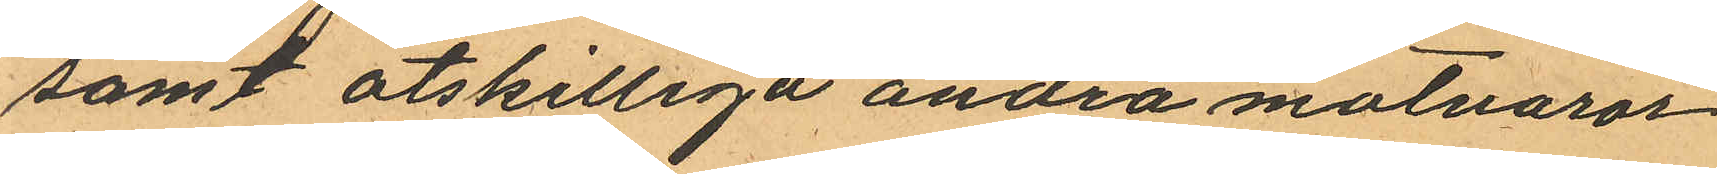samt åtskilliga andra matvaror
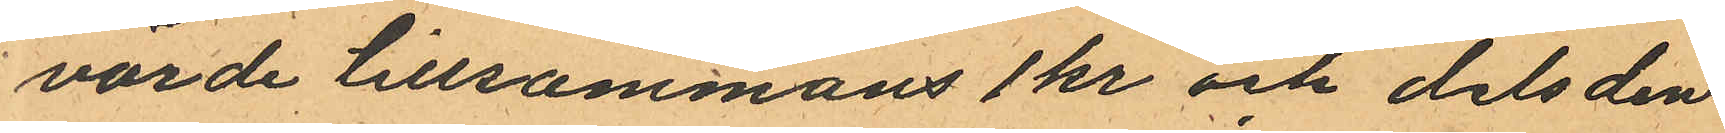värde tillsammans 1 kr och dels den
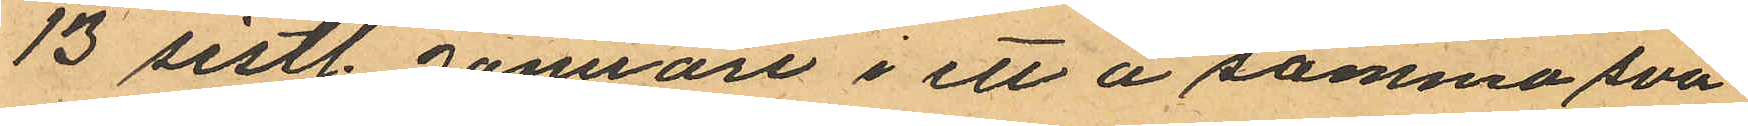13 sistl. Januari i ett å samma sva¬
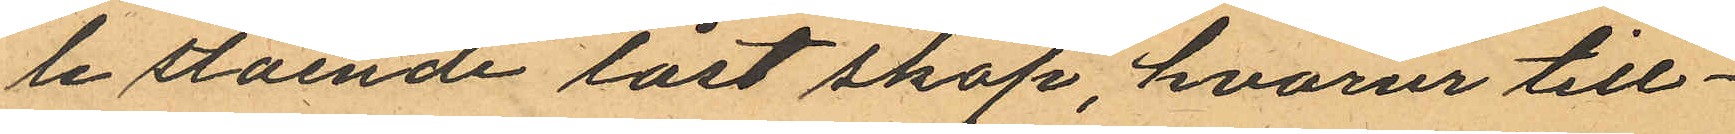le stående låst skåp, hvarur till¬
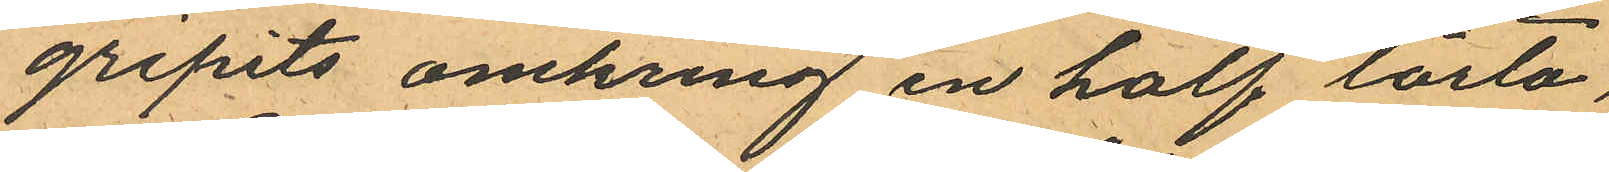gripits omkring en half lårta
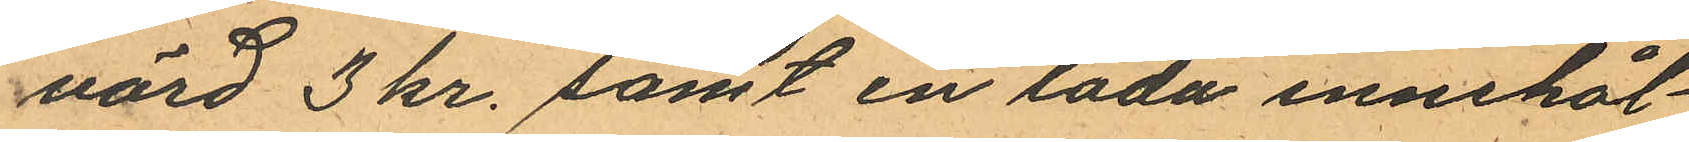värd 3 kr. samt en låda innehål¬
